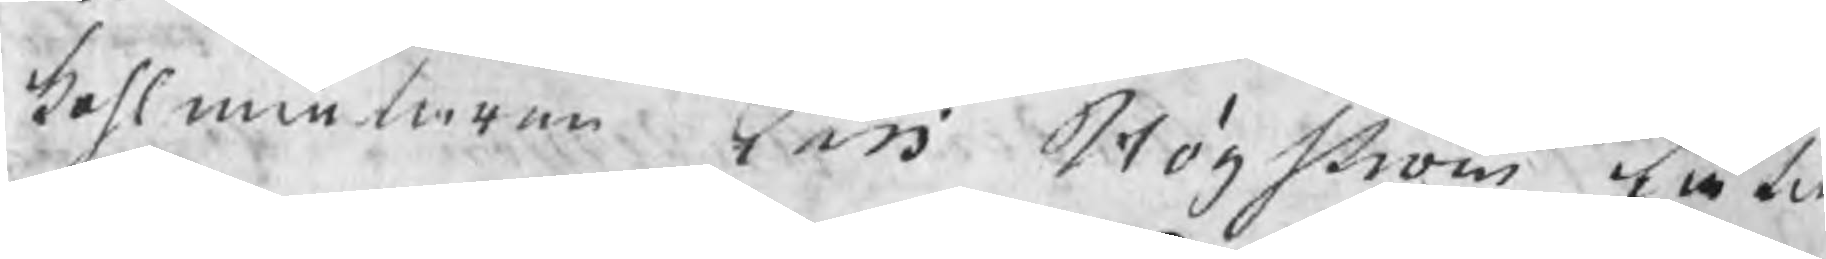kohlmätaren Lars Högström låtit
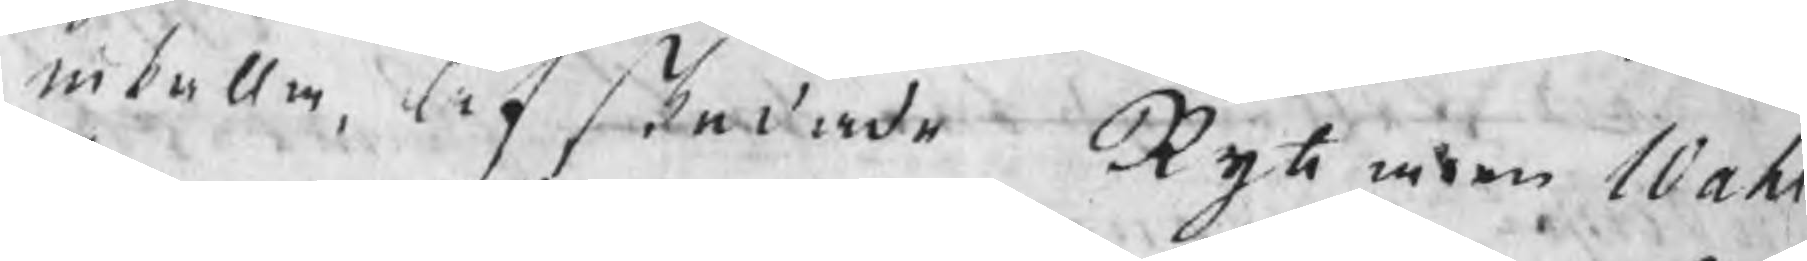inkalla, afskedade Ryttaren Wahl¬
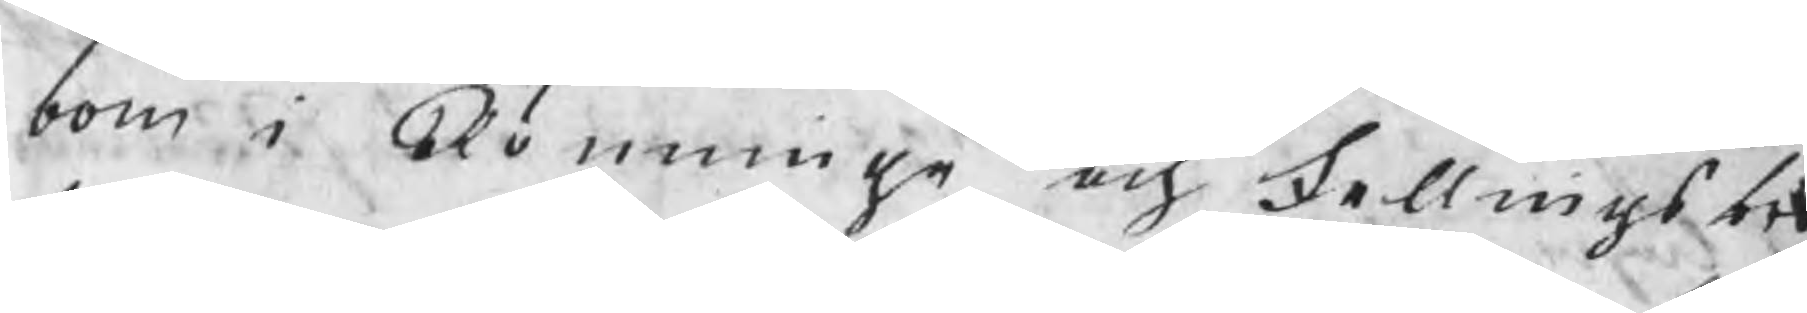bom i Rönninge och Fellingsbro
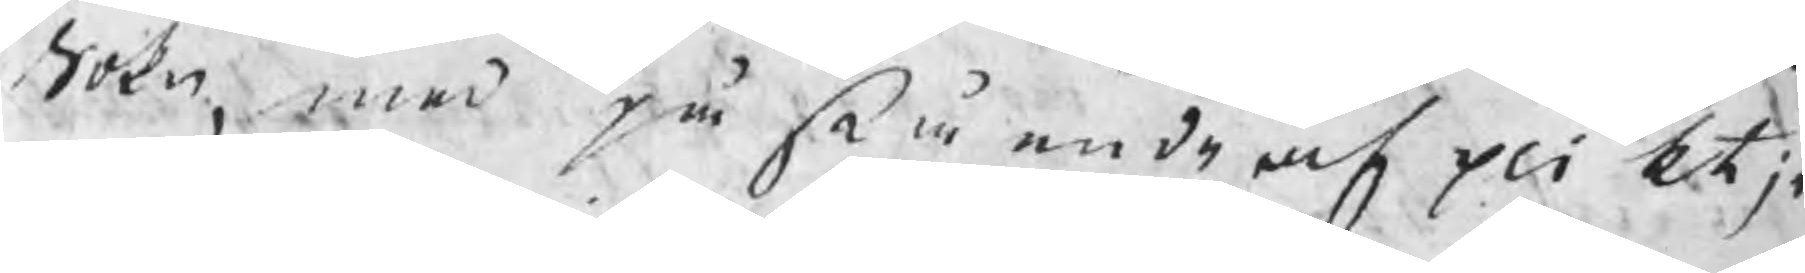Sokn, med påstående af plikt jä
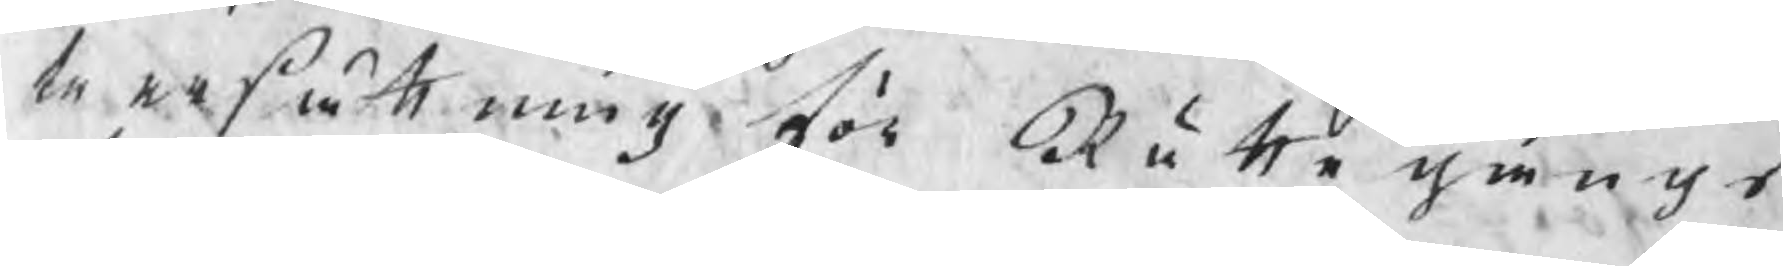te ersättning för Rättegångs
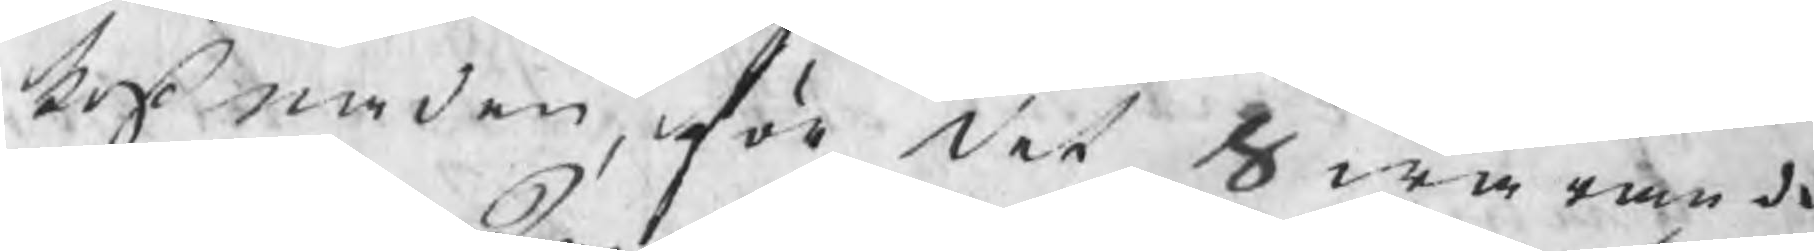kostnaden, för det Swarande
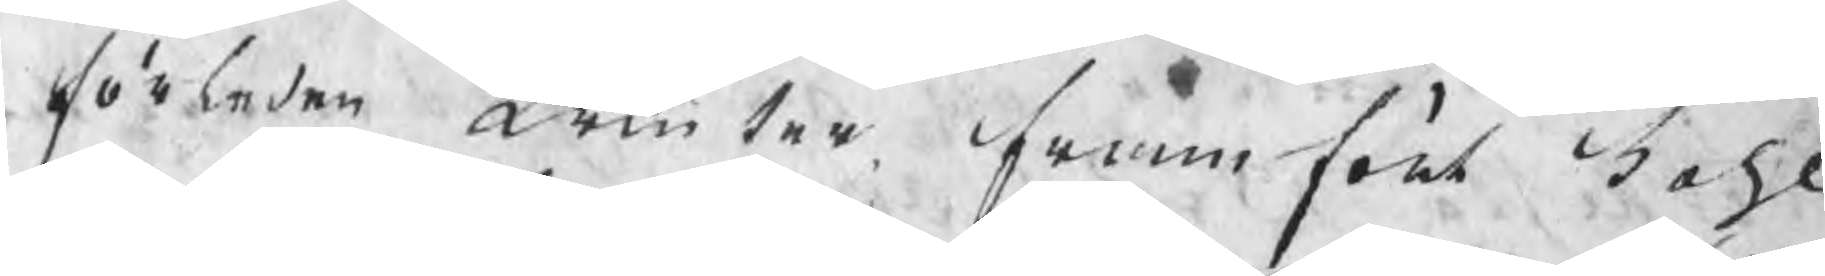förleden Winter framfört kohl
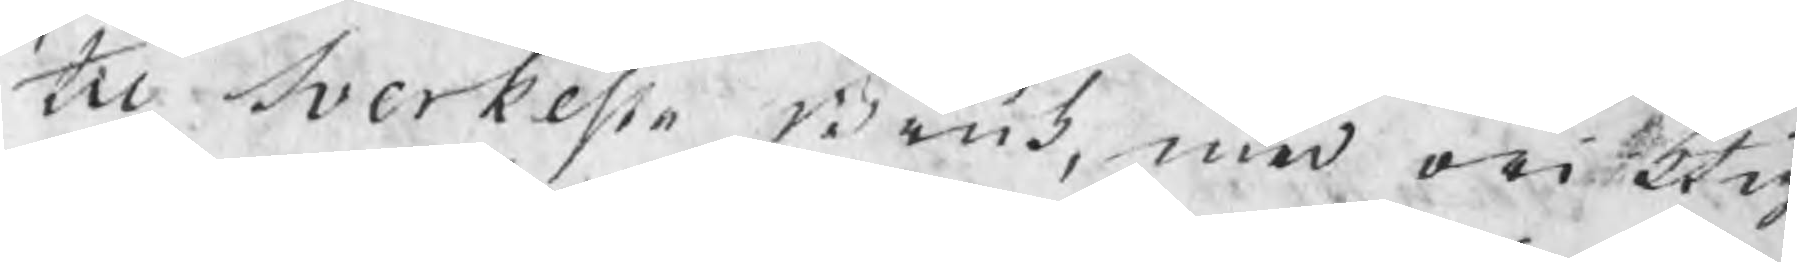til Sverkesta Bruk, med oriktig
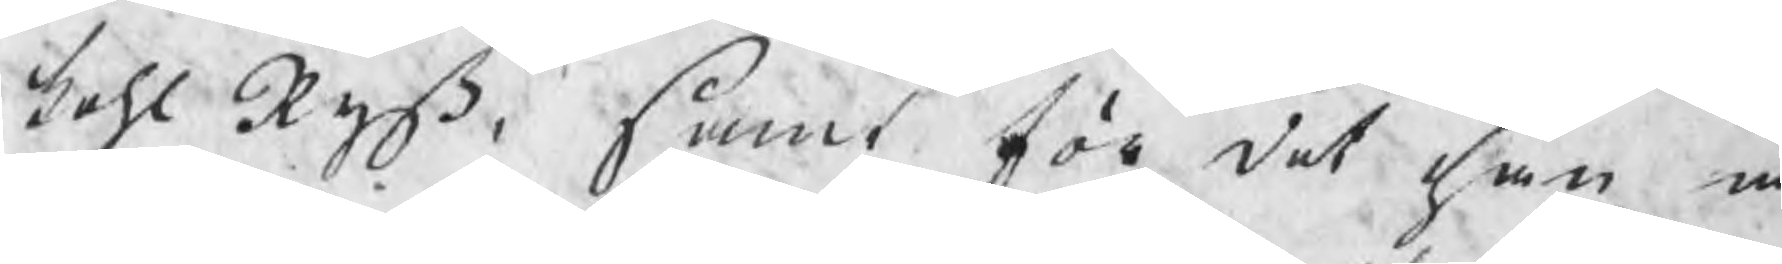kohl Ryß, samt för det han å
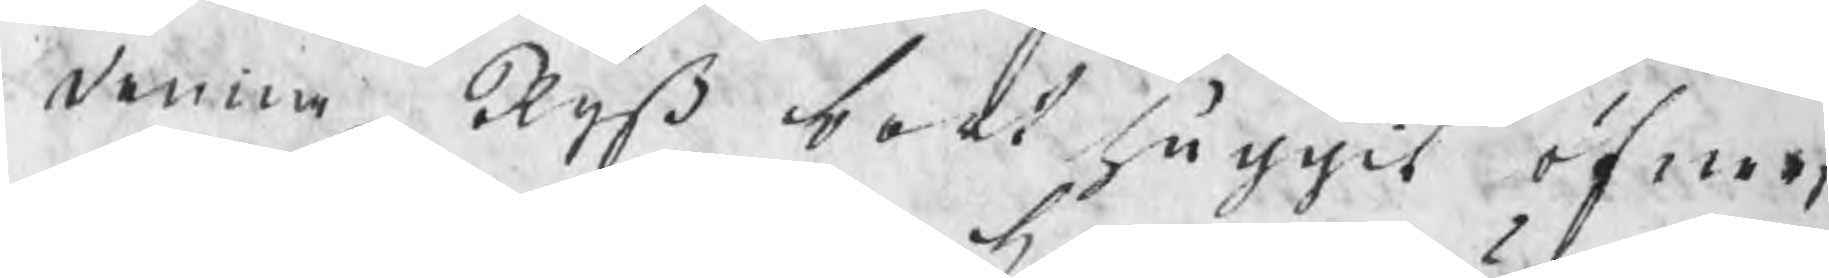denna Ryß bort huggit öfwer
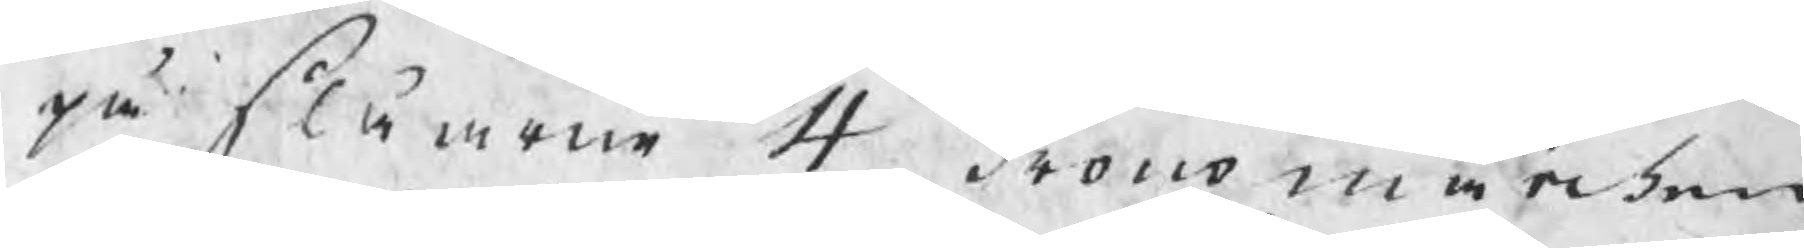på slåarne 4 kronomärken.
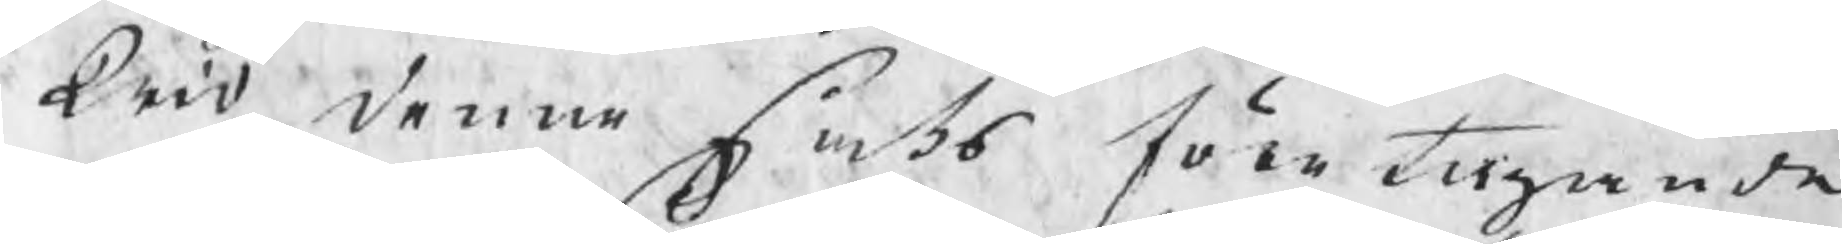Wid denne saks företagande
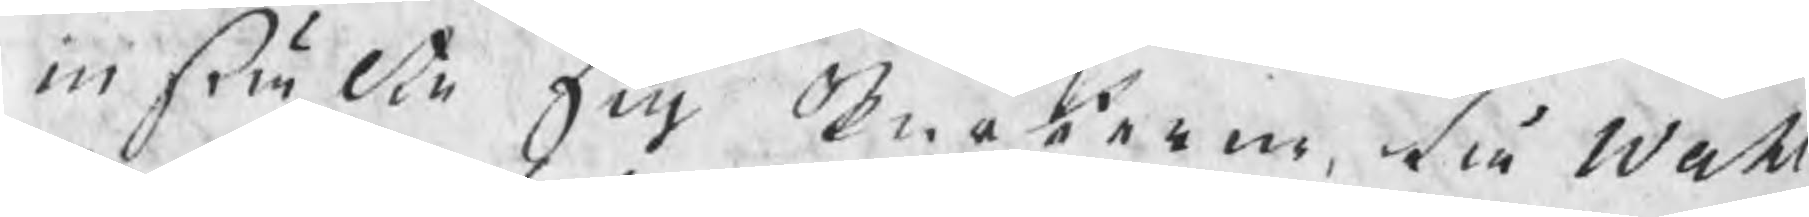instälte sig meteren, tå Wahl
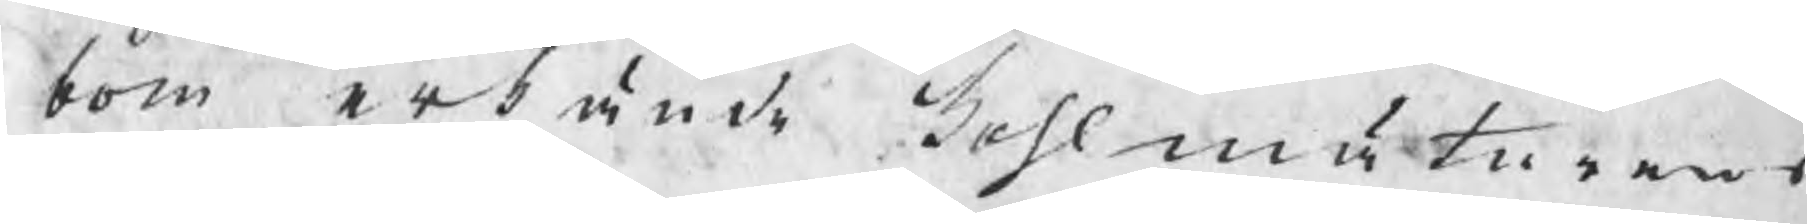bom erkände kohlmätarens
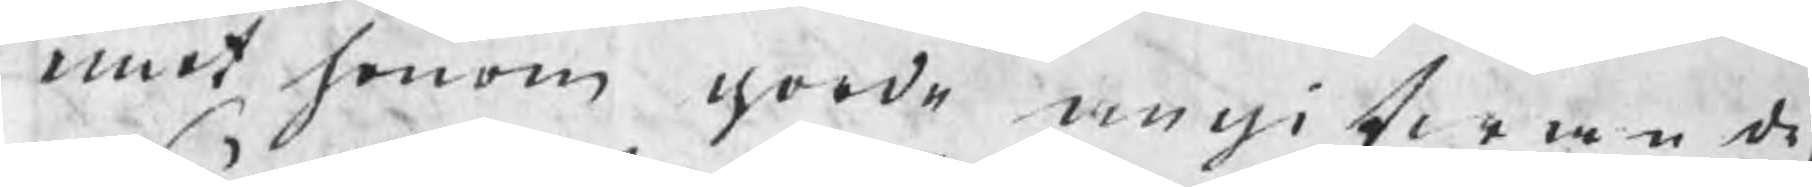emot honom gorde angifwande,
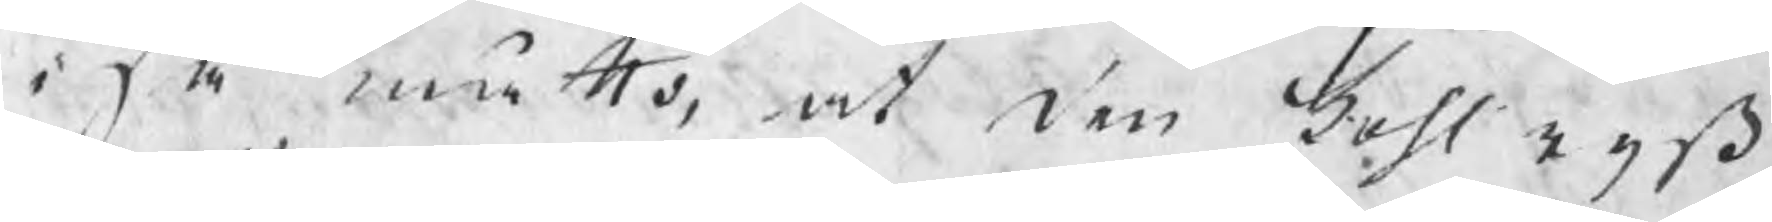i så måtto, at den kohlryß,
